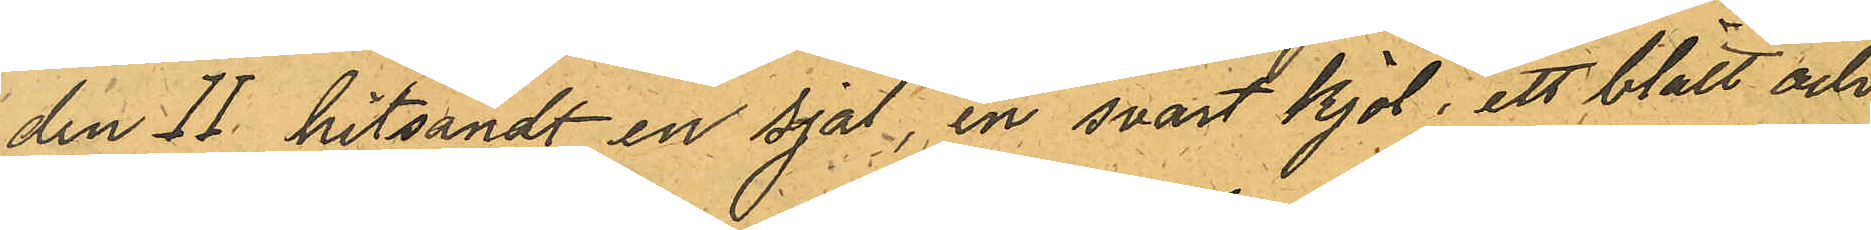den II hitsändt en sjal, en svart kjol, ett blått och
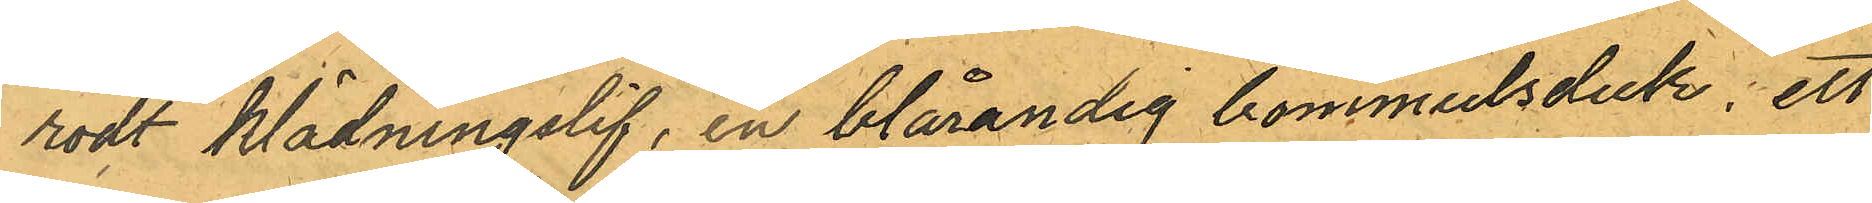rödt klädningslif, en blårandig bommulsduk, ett
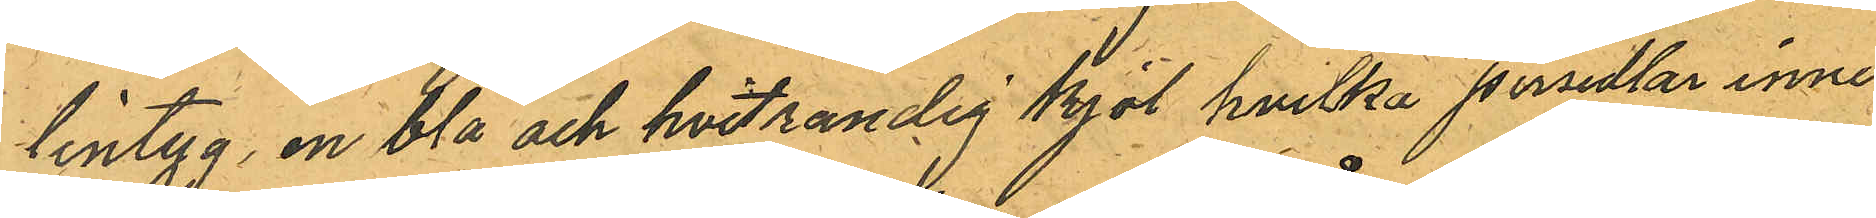lintyg, en blå och hvitrandig kjol, hvilka persedlar inne¬
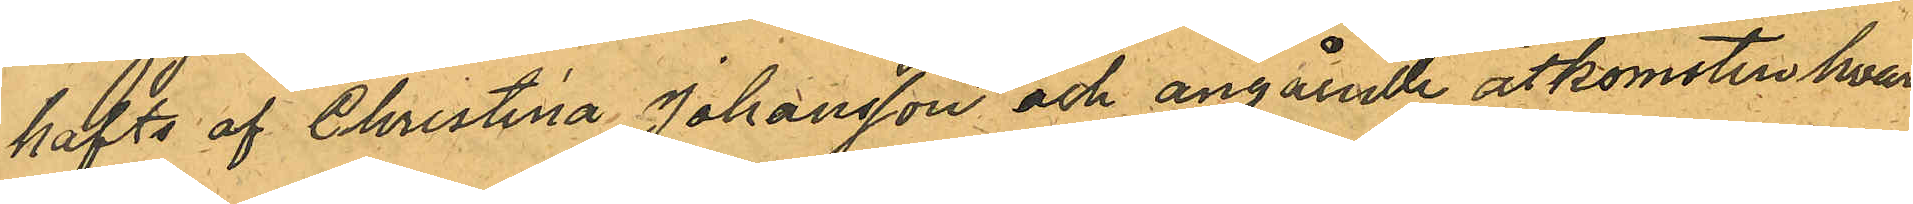hafts af Christina Johansson och angående åtkomsten hvar
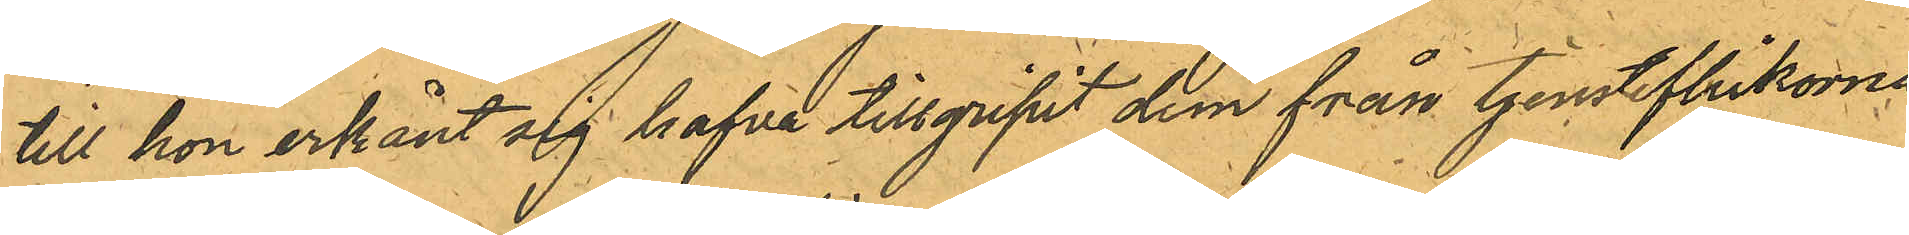till hon erkänt sig hafva tillgripit dem från tjensteflickorna
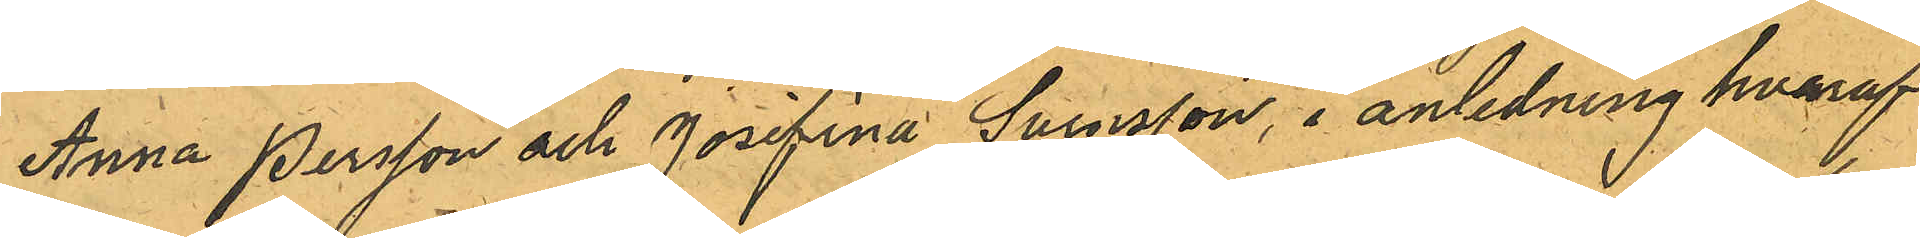Anna Persson och Josefina Svensson, i anledning hvaraf
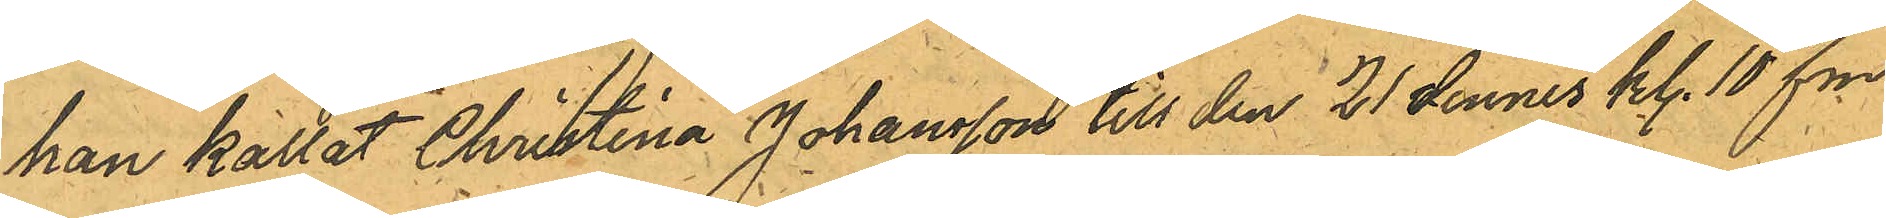han kallat Christina Johansson till den 21 dennes kl. 10 fm.
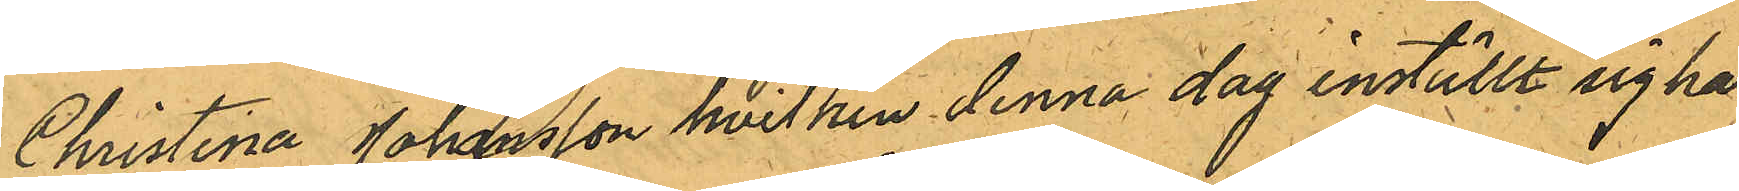Christina Johansson hvilken denna dag inställt sig här
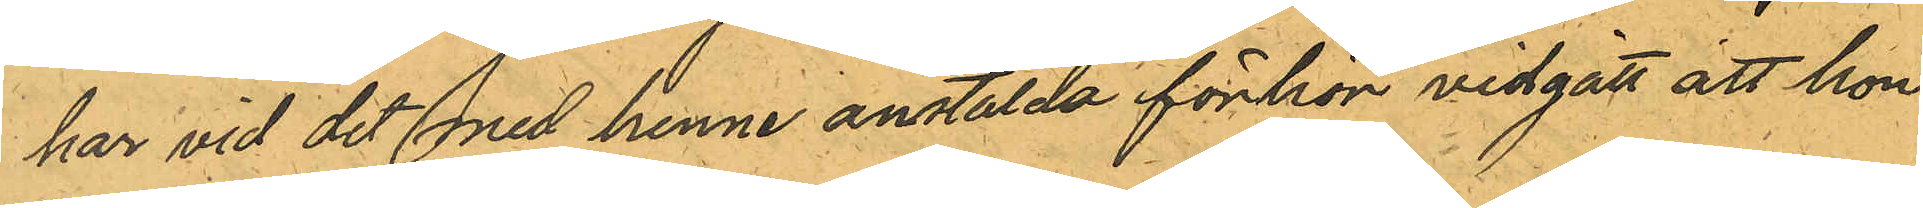har vid det med henne anstälda förhör vidgått att hon
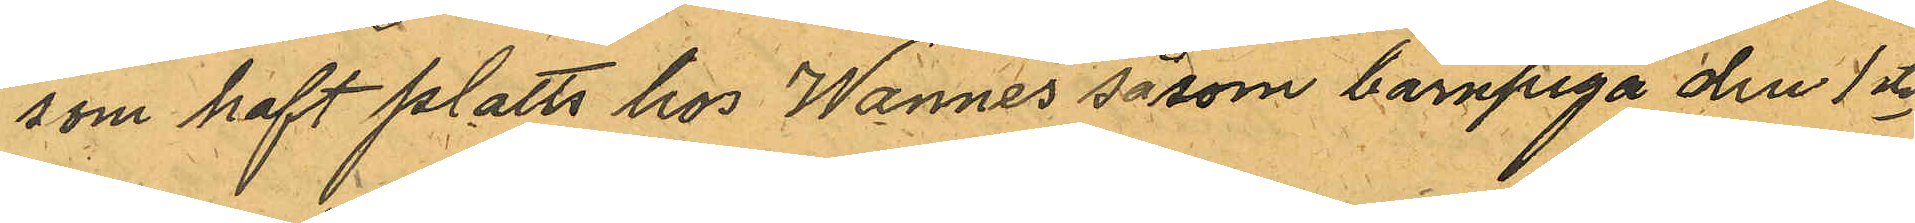som haft platts hos Wannes såsom barnpiga den 1ste
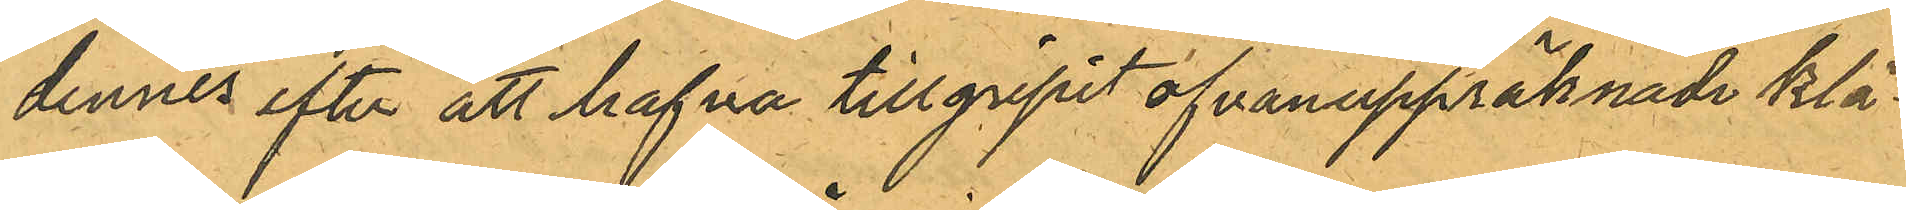dennes efter att hafva tillgripit ofvanuppräknade klä¬
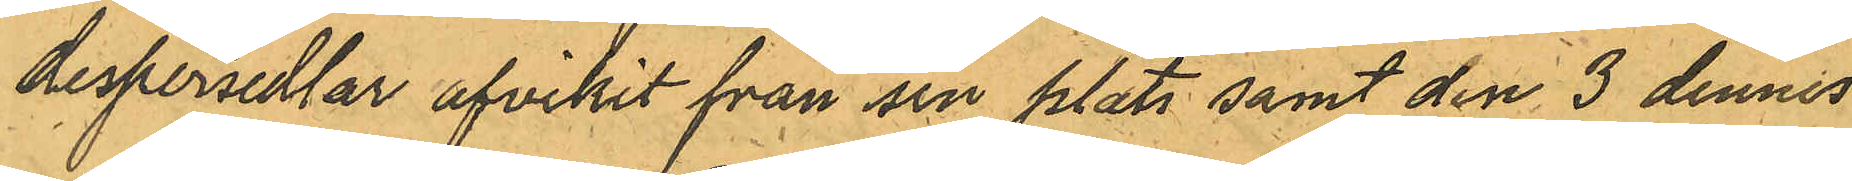despersedlar afvikit från sin plats samt den 3 dennes
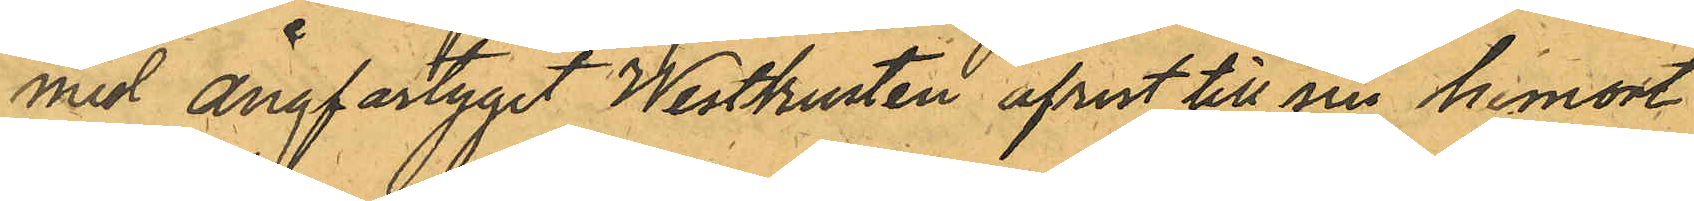mid ångfartyget Westkusten afrest till sin himort
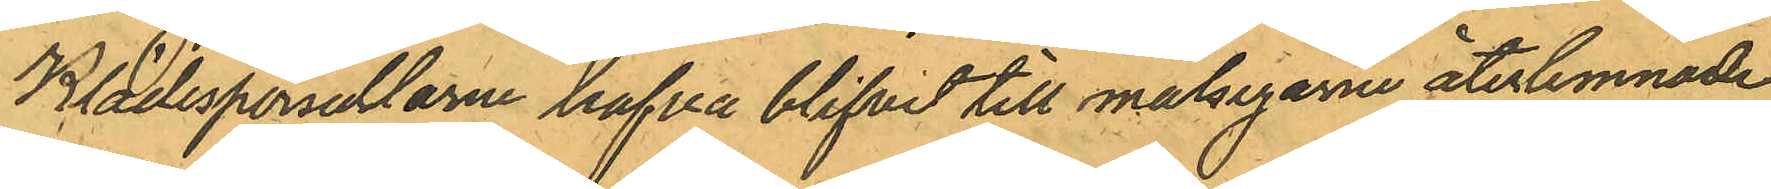Klädespersedlarne hafva blifvit till målsegarne återlemnade.
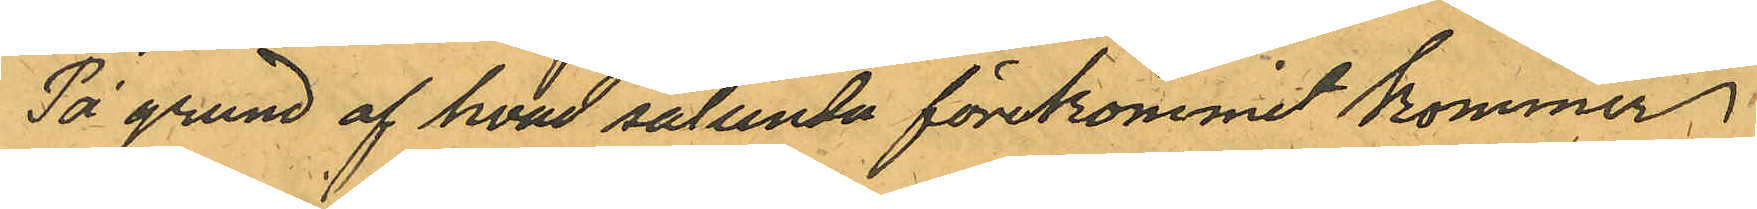På grund af hvad sålunda förekommit kommer
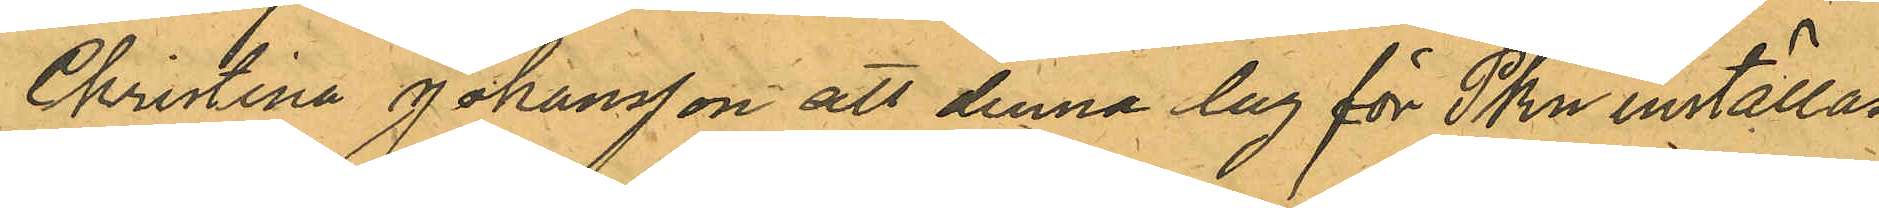Crinina Johansson att denna dag för Pkn inställas
